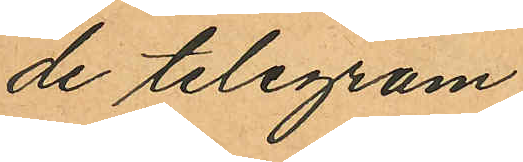de telegram
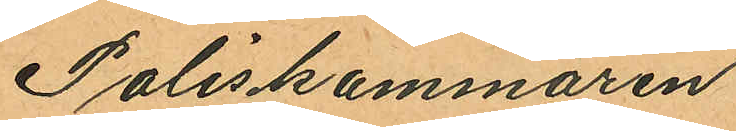Poliskammaren
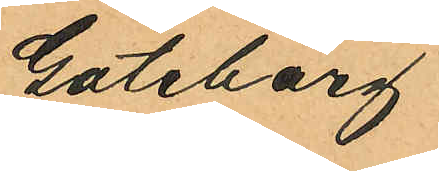Göteborg
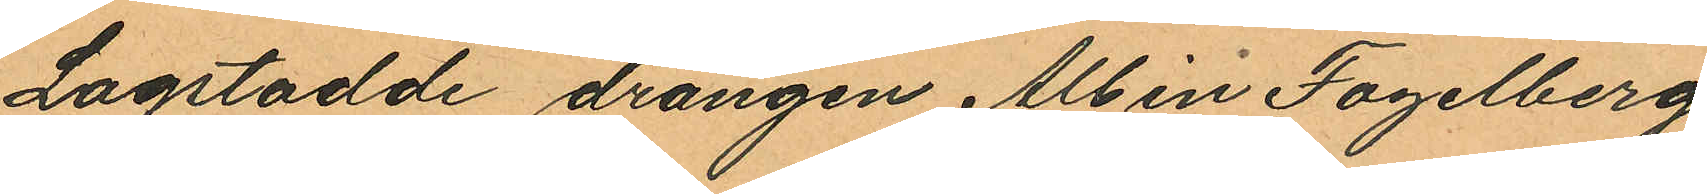Lagstadde drängen Albin Fogelberg
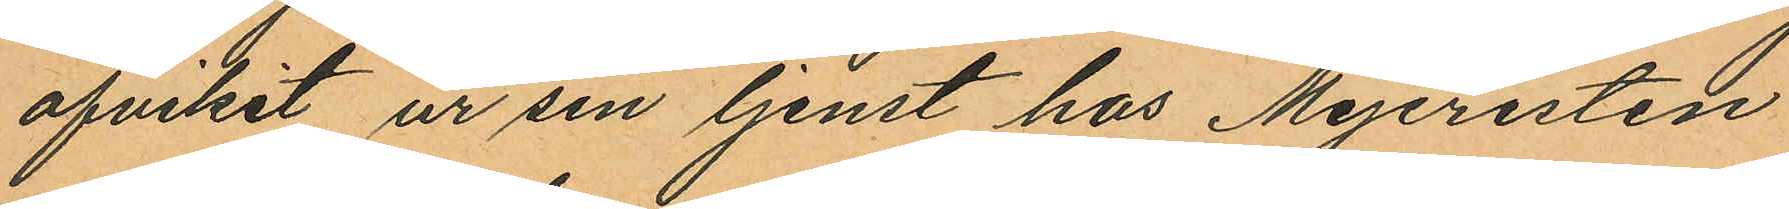afvikit ur sin tjenst hos Mejeristen
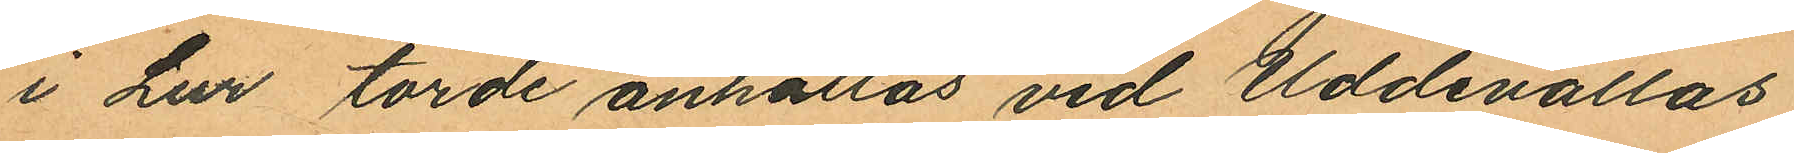i Lur torde anhållas vid Uddevallas
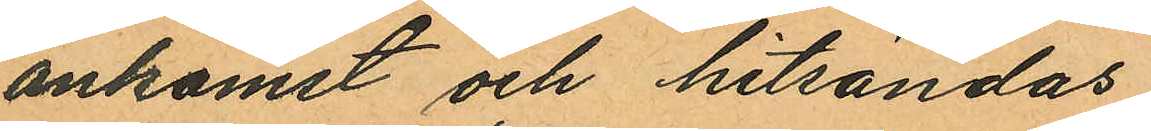ankomst och hitsändas.
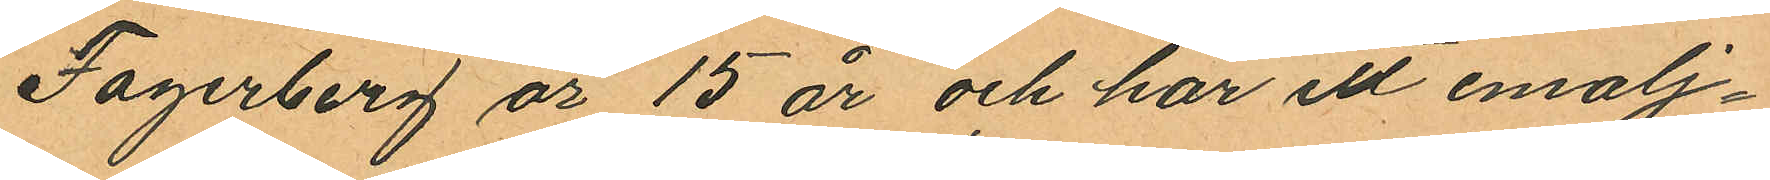Fagerberg år 15 år och har ett emalj¬
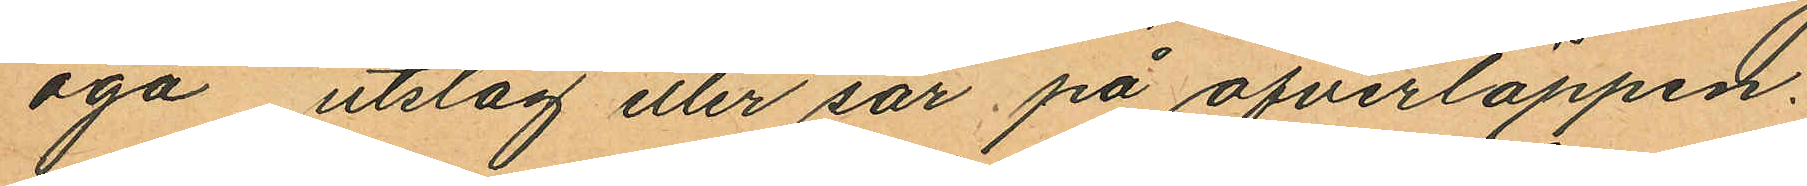öga utslag eller sår på öfverläppen.
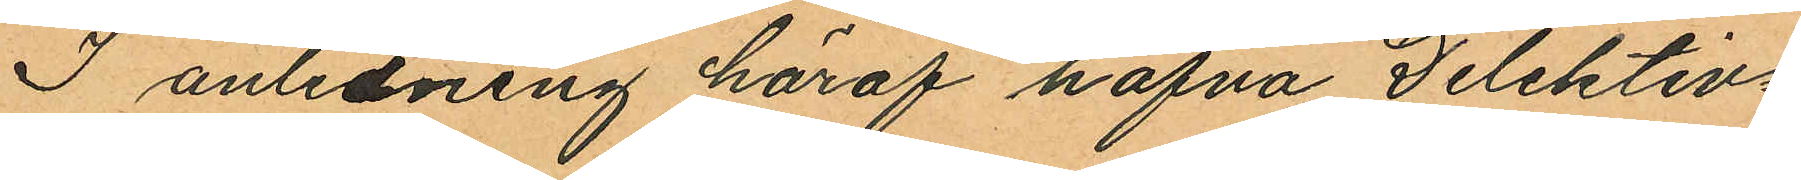I anledning häraf hafva Delektiv¬
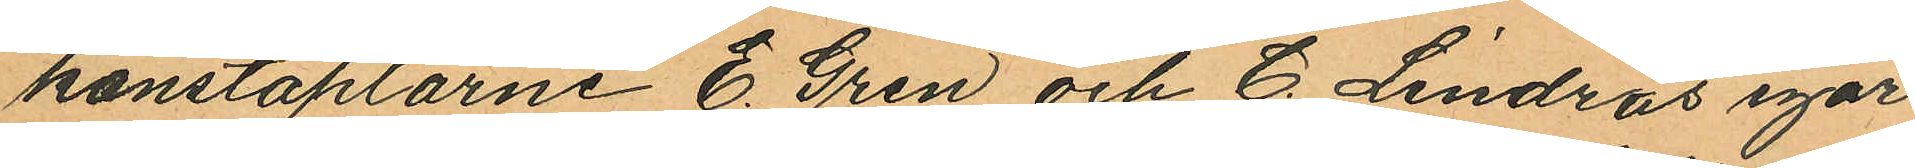konstaplarne E. Gren och C. Lindros igår
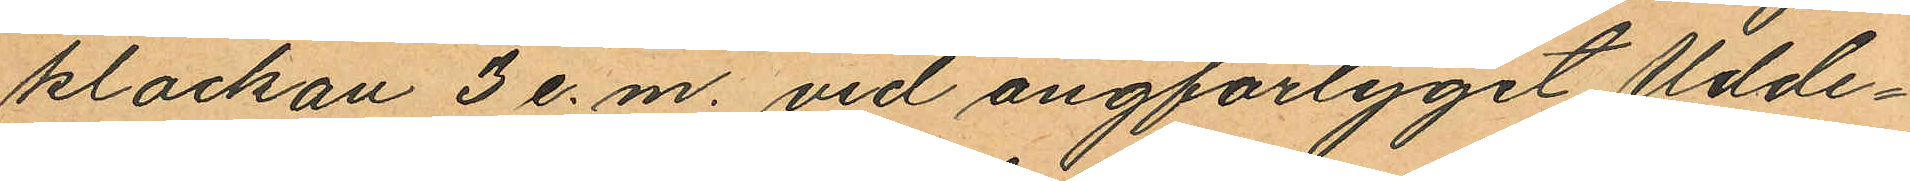klockan 3 e. m. vid ångförtyget Udde¬
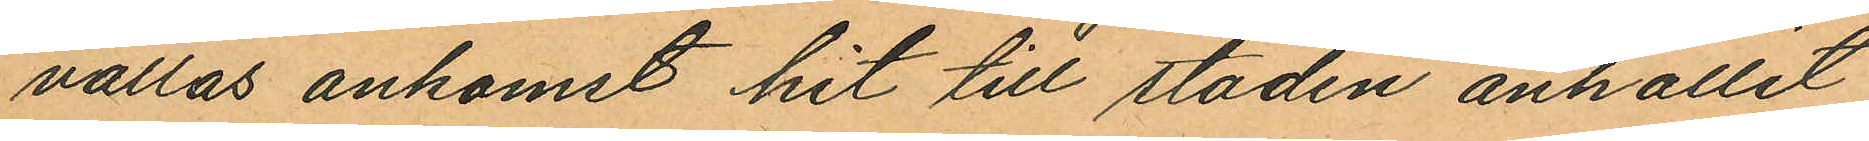vallas ankomst hit till staden anhållit
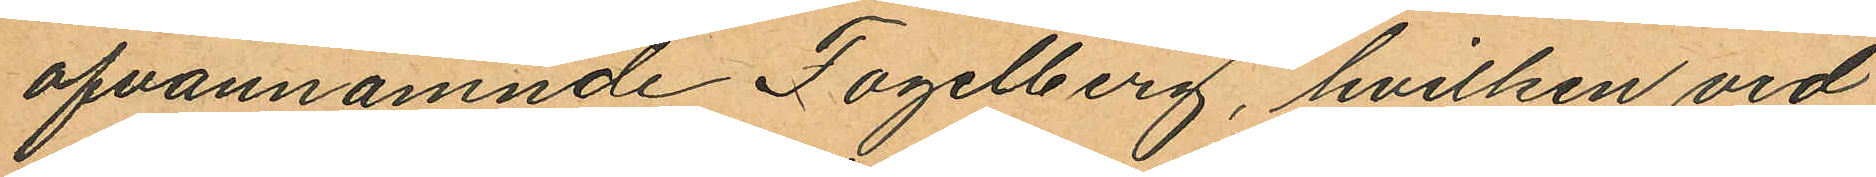ofvannämnde Fogelberg, hvilken vid
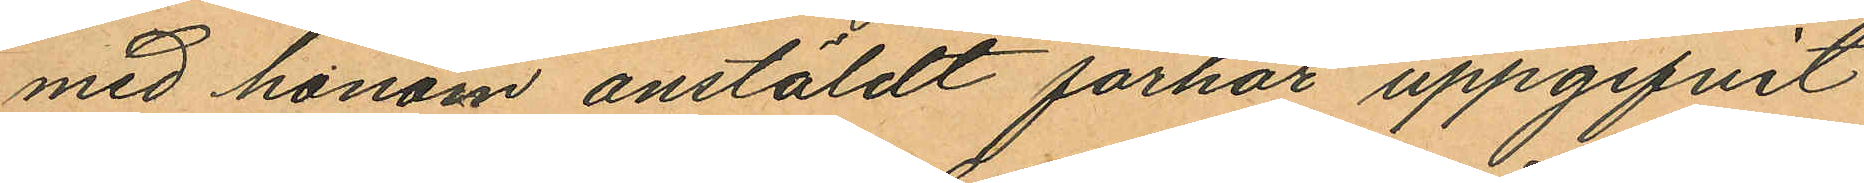med honom anstäldt förhör uppgifvit
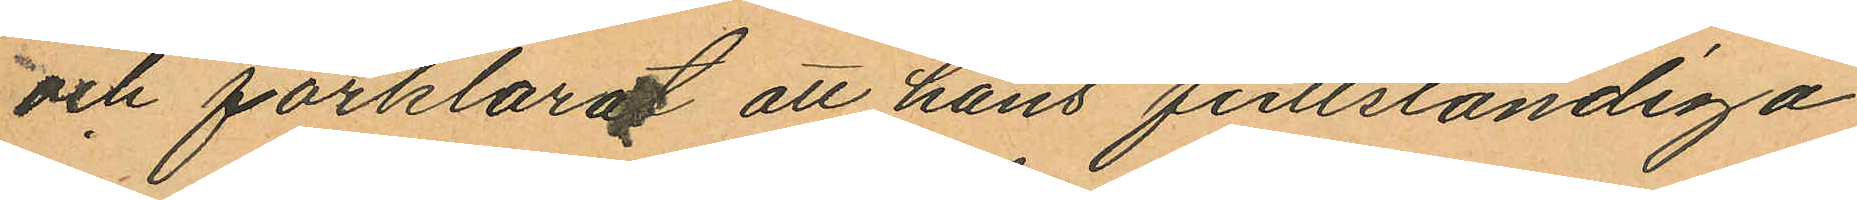och förklarat att hans fullständiga
